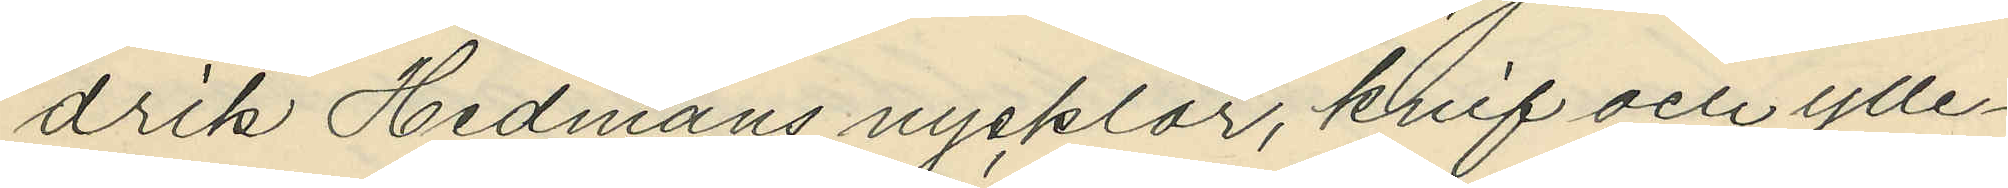drik Hedmans nycklar, knif och ylle¬
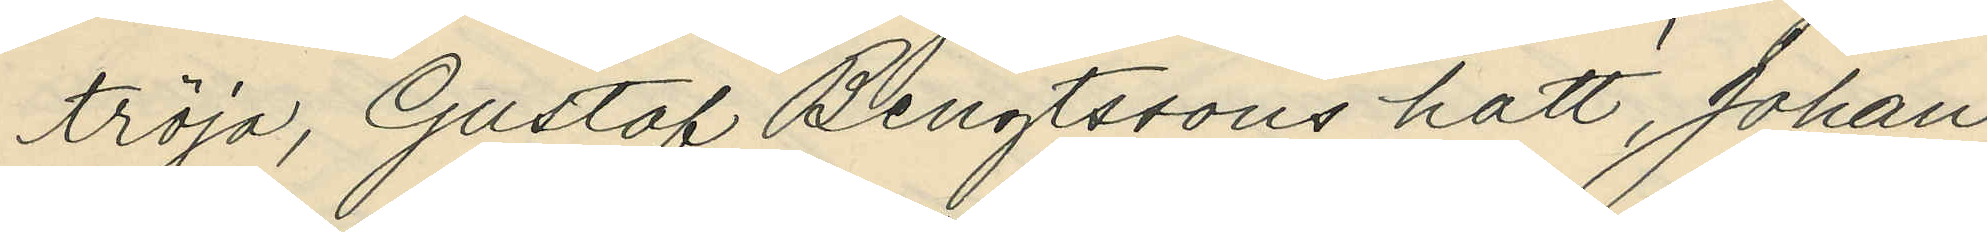tröja, Gustaf Bengtssons hatt, Johan
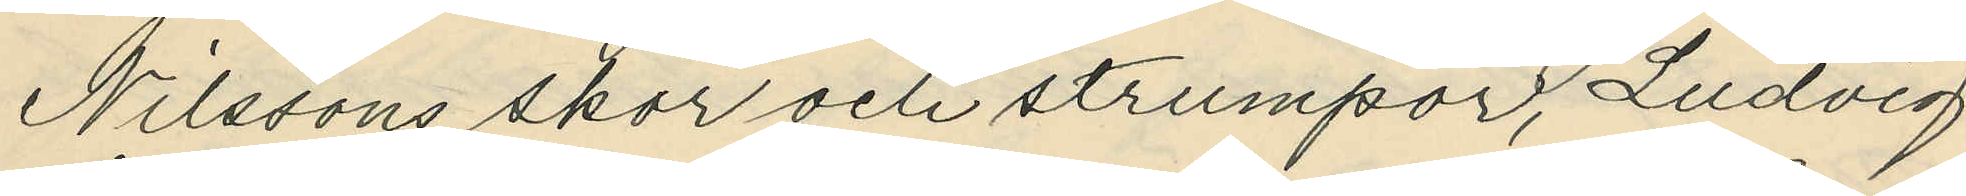Nilssons skor och strumpor, Ludvig
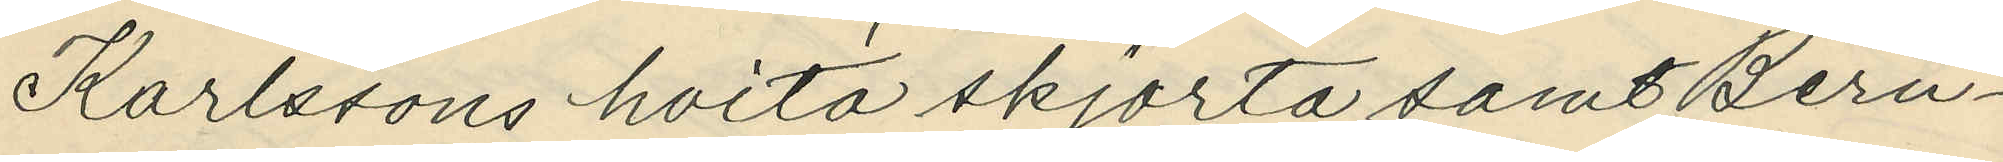Karlssons hvita skjorta samt Bern¬
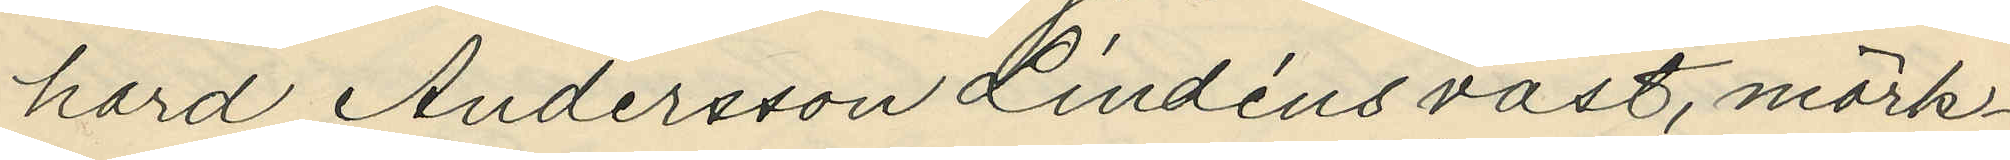hard Andersson Lindéns väst, mörk¬
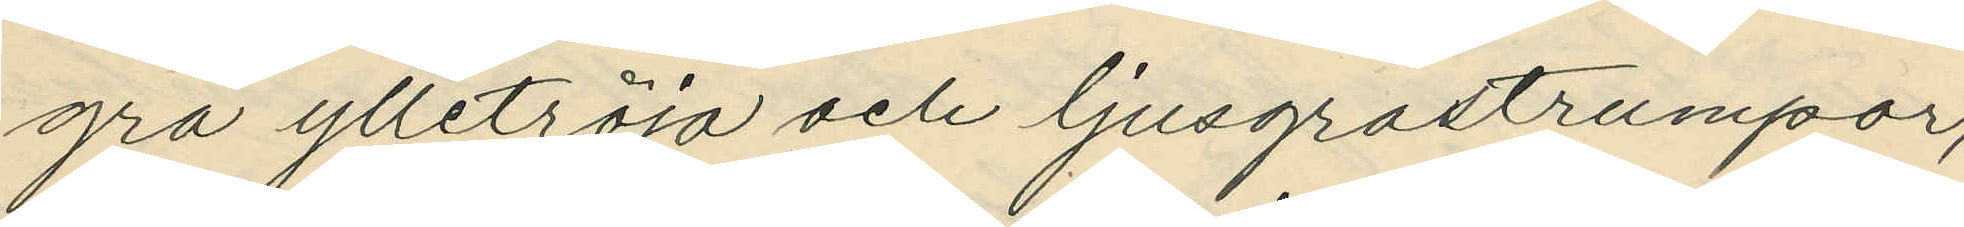grå ylletröja och ljusgrå strumpor,
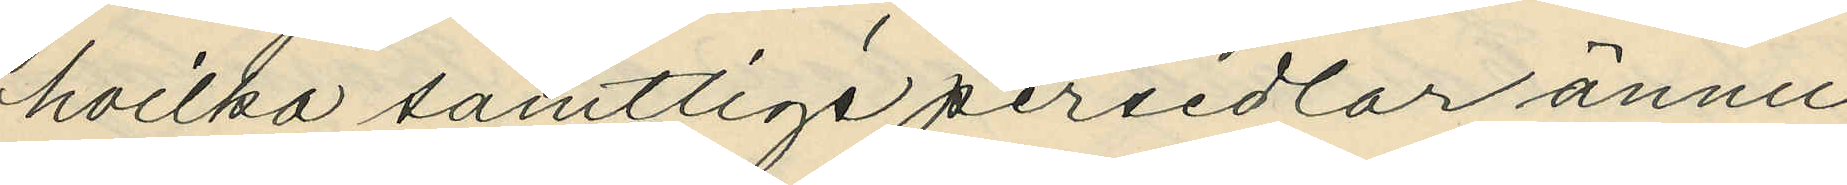hvilka samtlige persedlar ännu
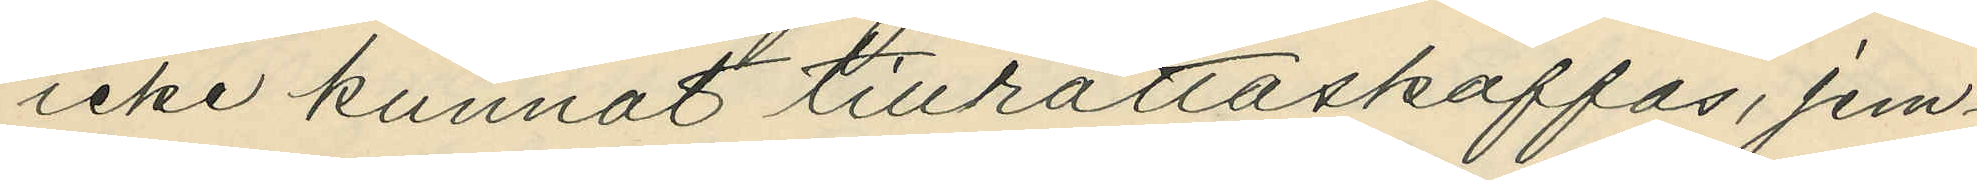icke kunnat tillrättaskaffas, jem¬
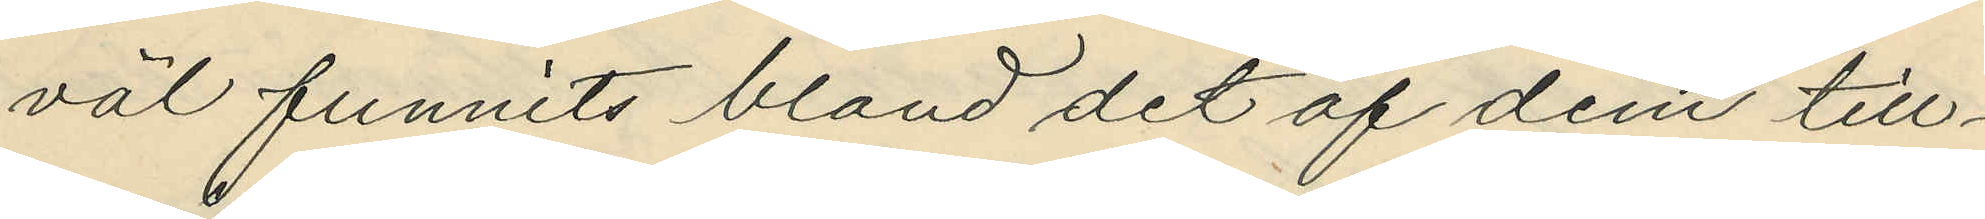väl funnits bland det af dem till¬
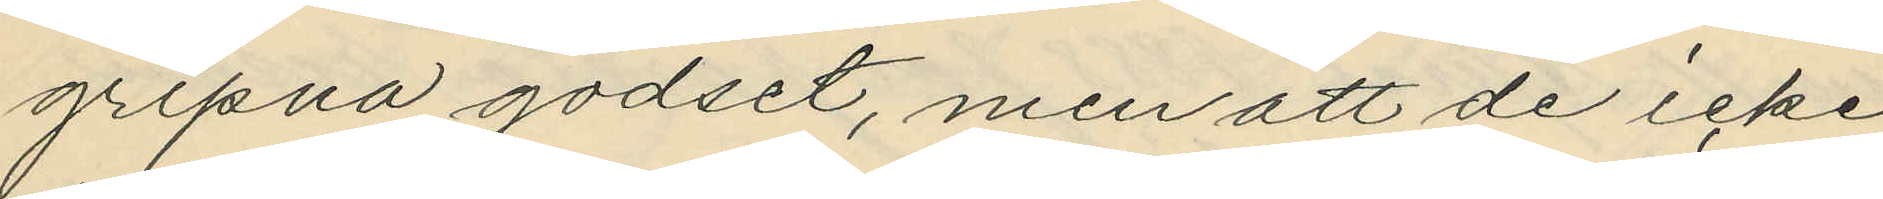gripna godset, men att de icke
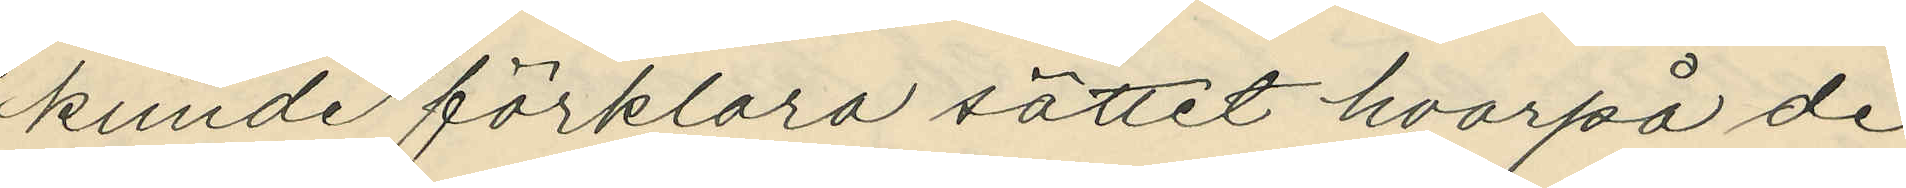kunde förklara sättet hvarpå de
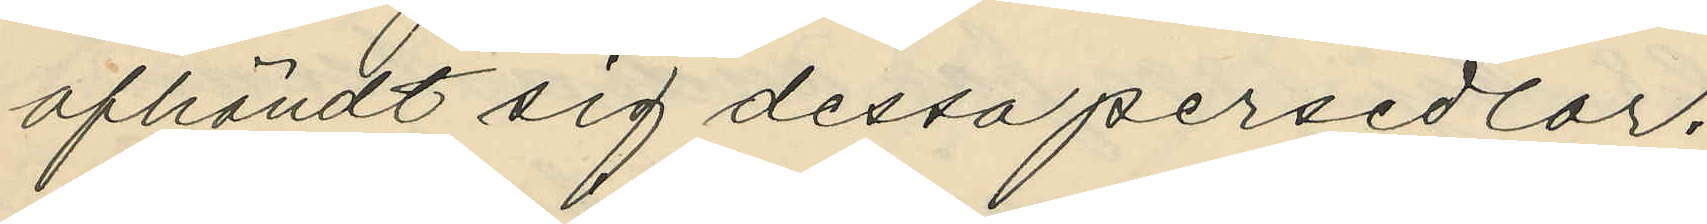afhändt sig dessa persedlar.
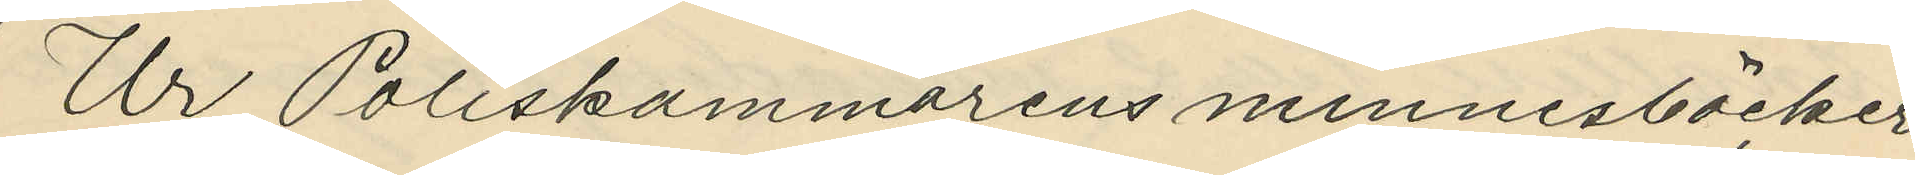Ur Poliskammarens minnesböcker
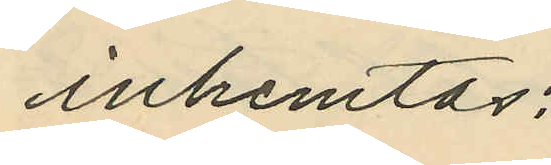inhemtas:
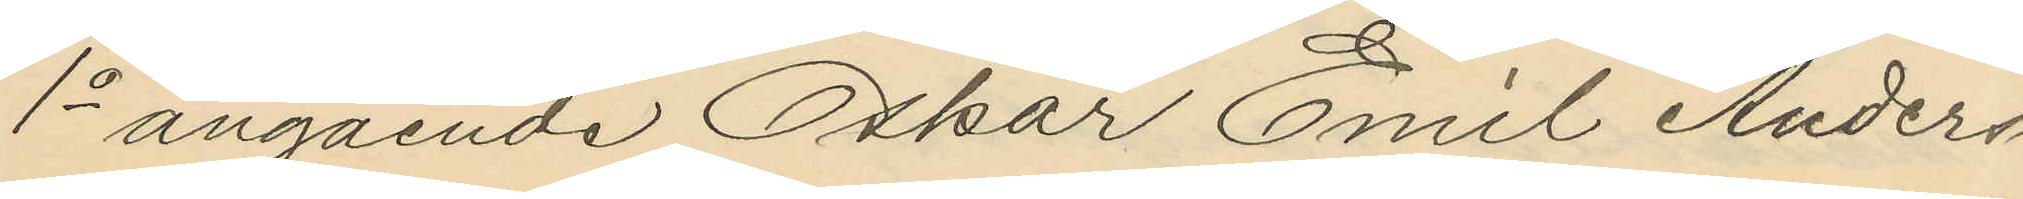1o angående Oskar Emil Anders¬
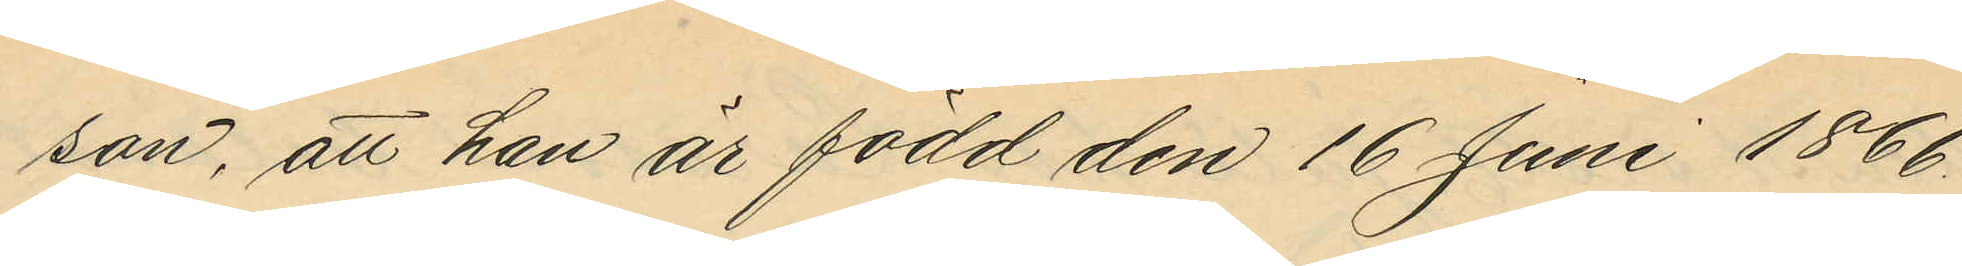son, att han är född den 16 Juni 1866
